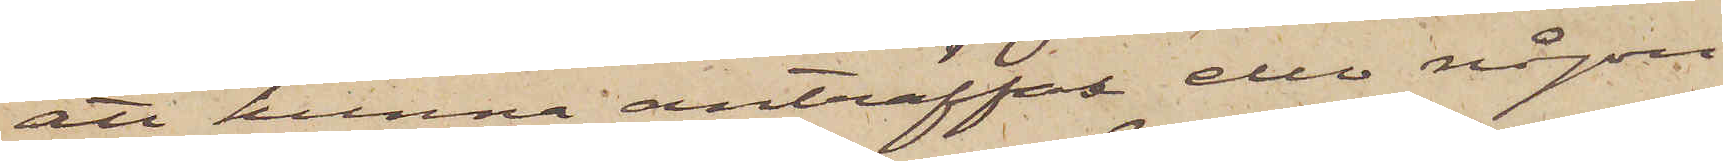att kunna anträffas eller någon
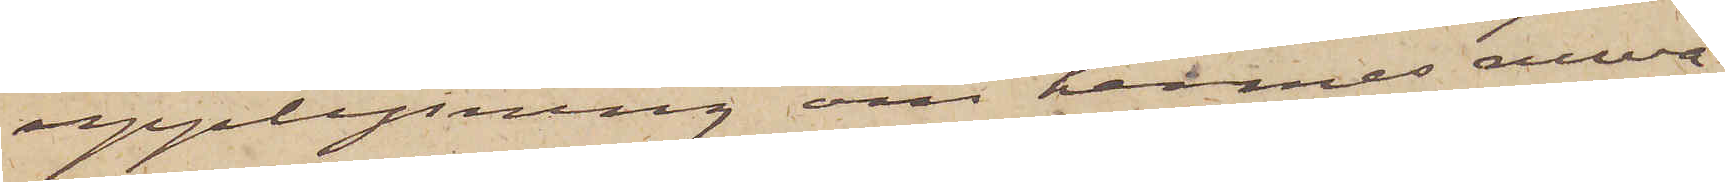upplysning om hennes nuva¬
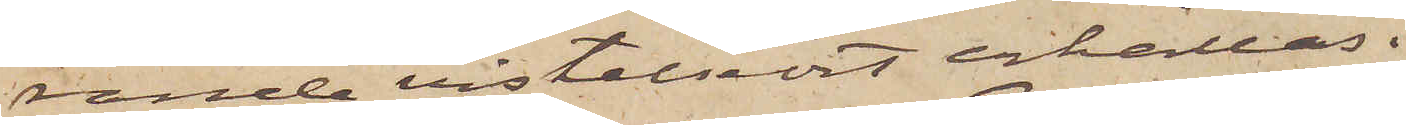rande vistelseort erhållas.
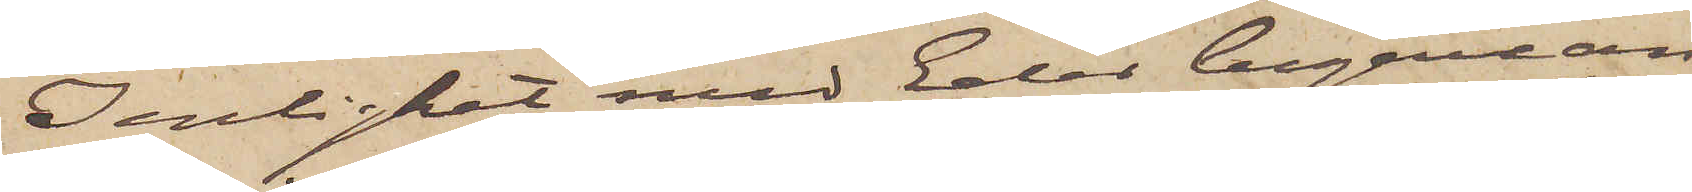I enlighet med Eder begäran
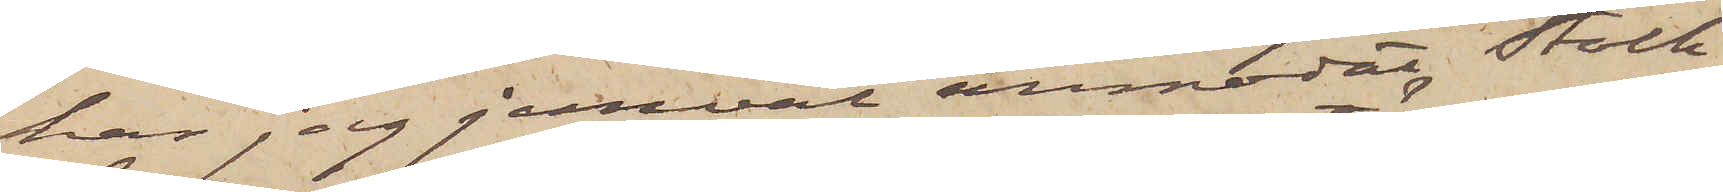har jag jemväl anmodat Stock¬
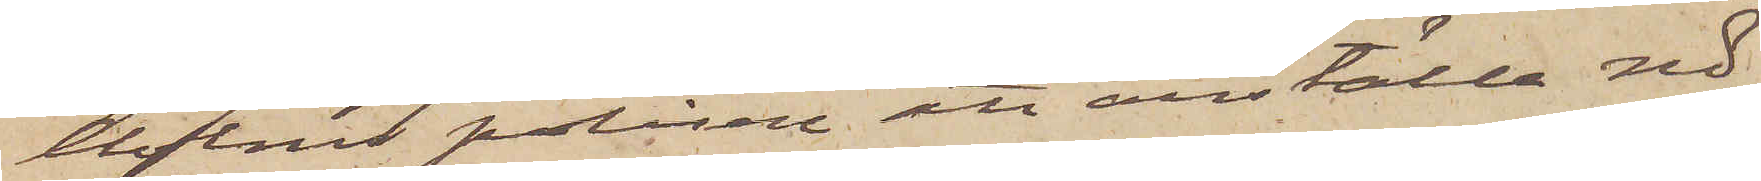holms polisen att anställa nö¬
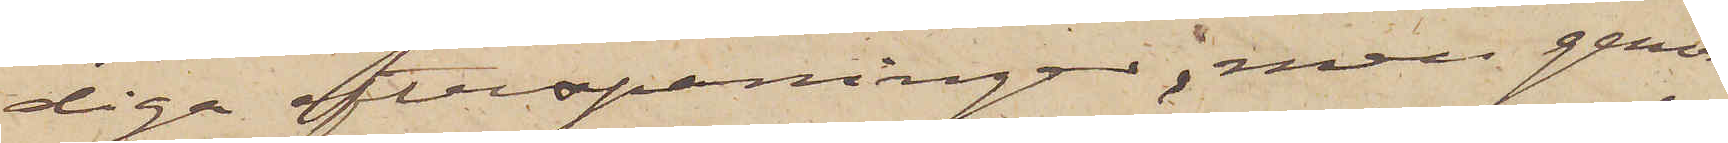diga efterspaningar, men genom
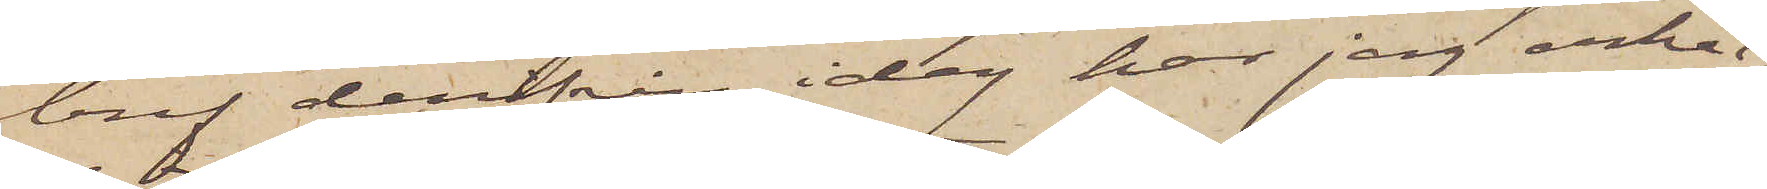bref derifrån idag har jag erhål¬
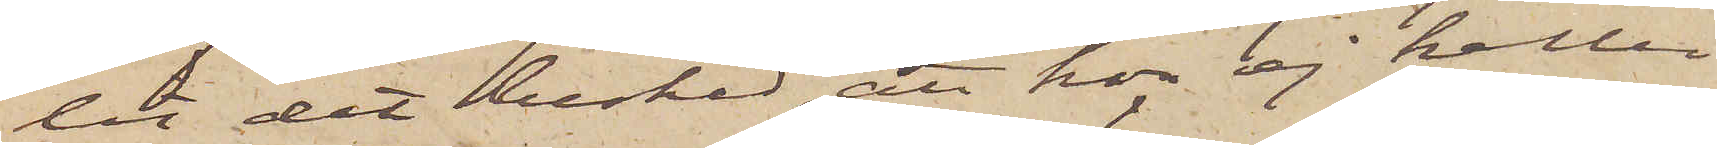lit det besked, att hon ej heller
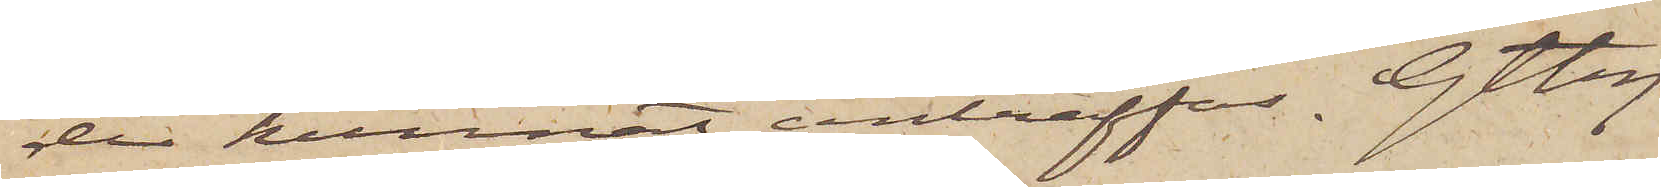der kunnat anträffas. Gtbg
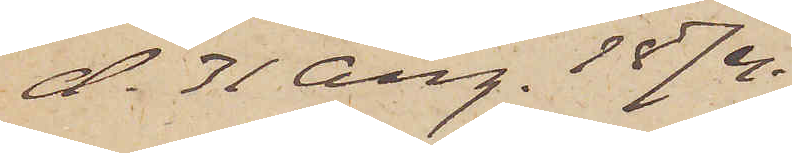d. 31 Aug. 1874.
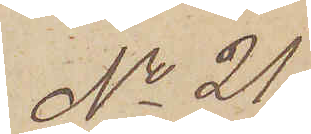No 21
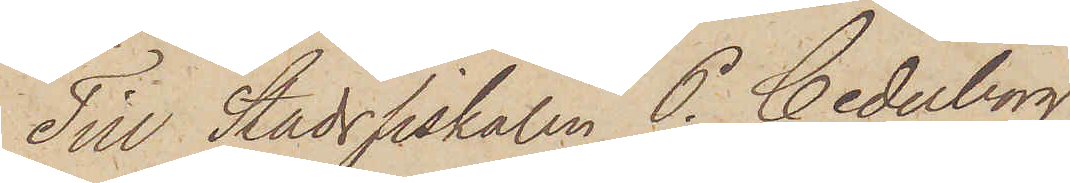Till Stadsfiskalen P. Cederborg
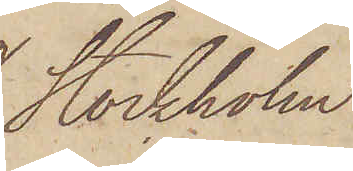Stockholm.
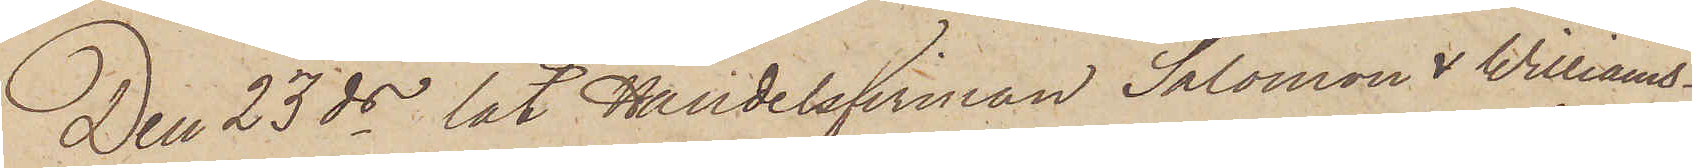Den 23 ds lät Handelsfirman Salomon & Williams¬
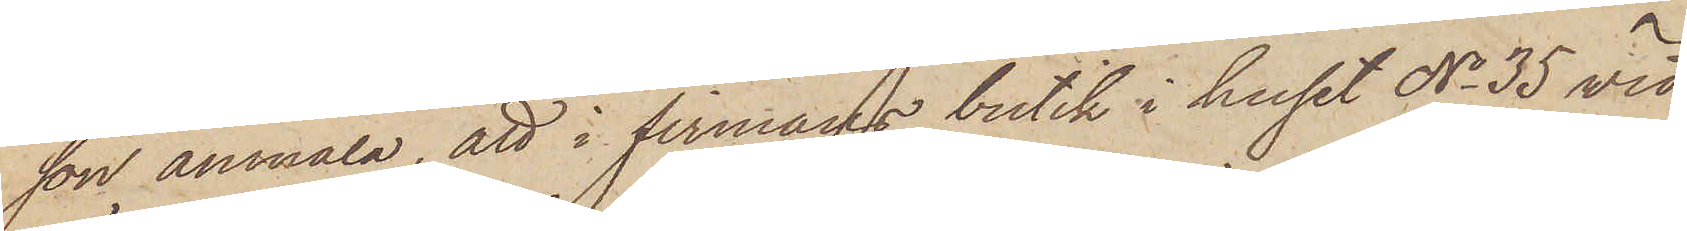son anmäla, att i firmans butik i huset No 35 vid
